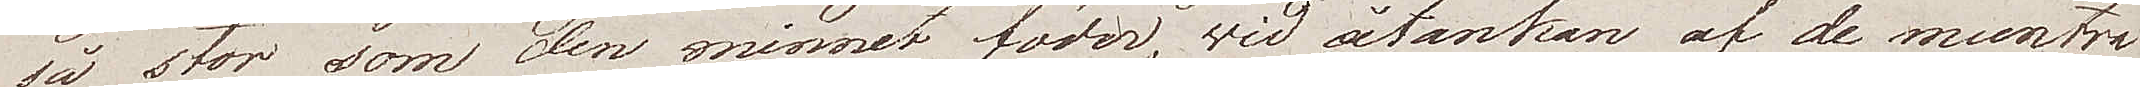så stor, som den minnet föder, vid åtanken af de muntra
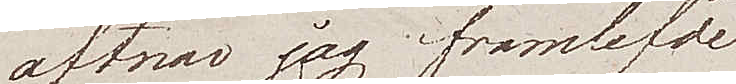aftnar jag framlefde
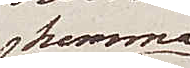hemma
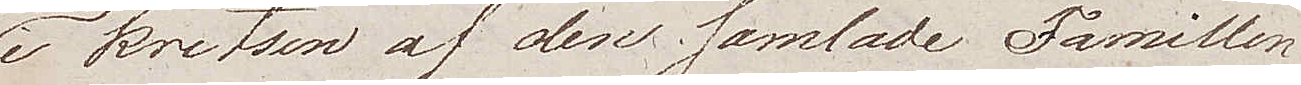i kretsen af den samlade Famillen
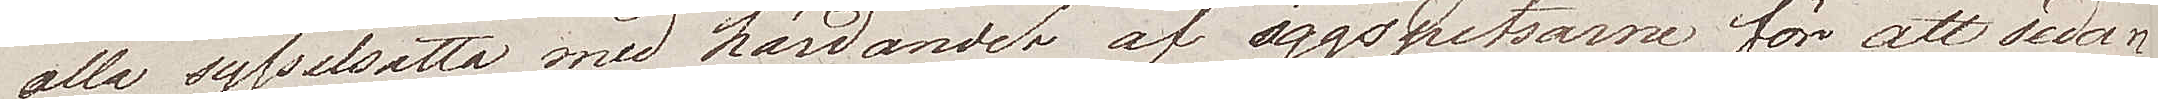alla sysselsatta med härdandet af äggspetsarne för att sedan
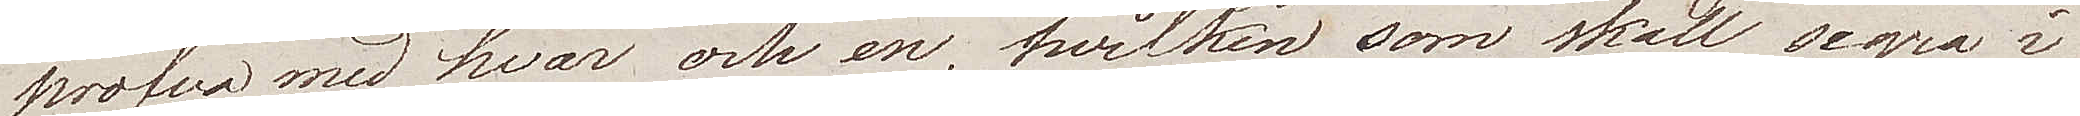pröfva med hvar och en, hvilken som ska segra i
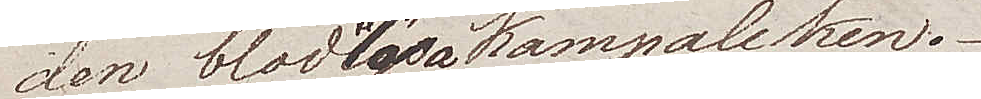den blodlösa kämpaleken.
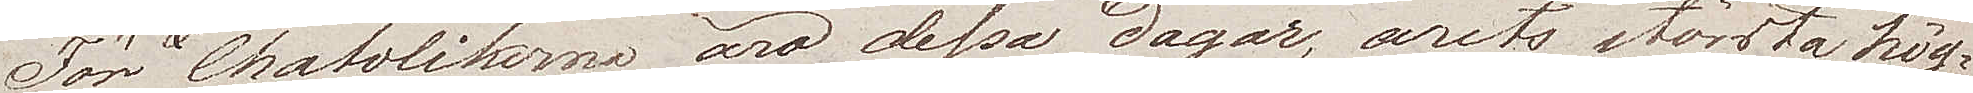För Chatolikerna äro dessa dagar, årets största hög¬
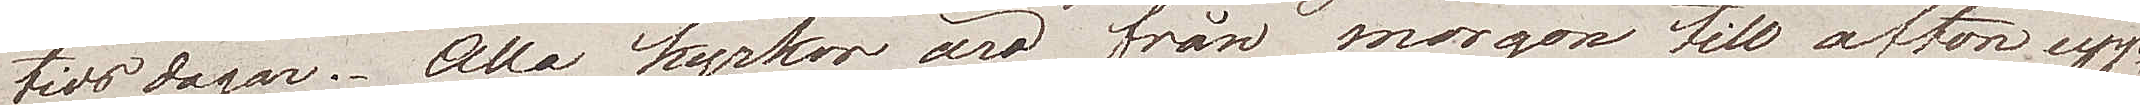tids dagar. Alla kyrkor äro från morgon till afton upp¬
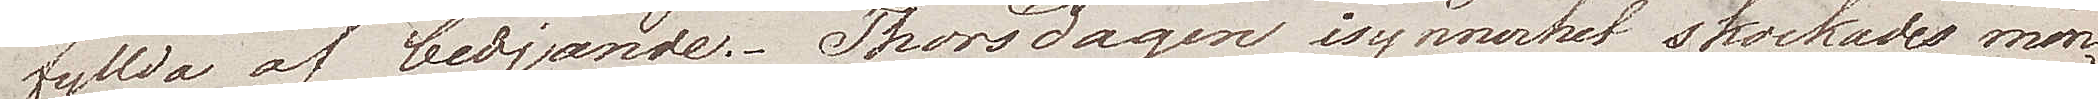fyllda af bedjande. Thorsdagar isynnerhet skockades men¬
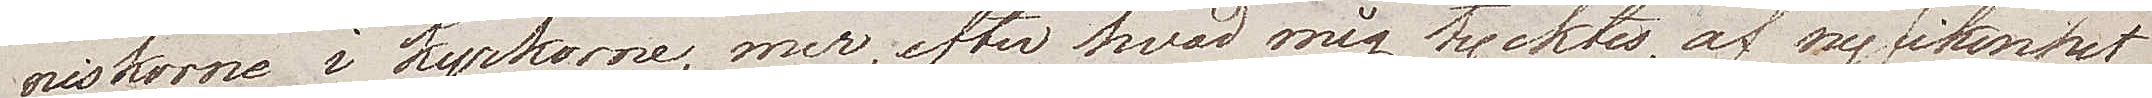niskorne i kyrkorne, mer, efter hvad mig tycktes, af nyfikenhet
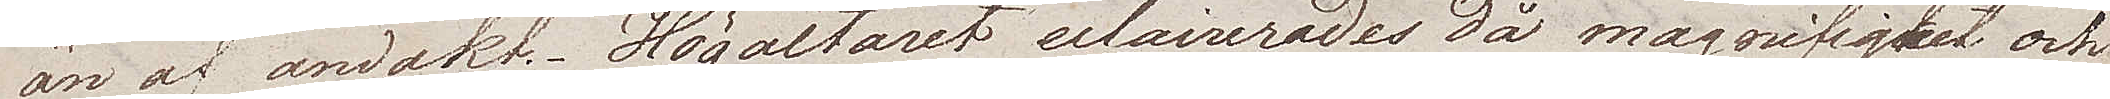än af andakt. Högaltaret eclairerades då magnifigket och
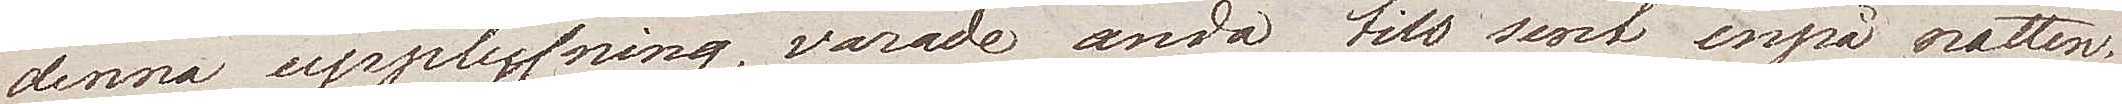denna upplysning varade ända till sent inpå natten.
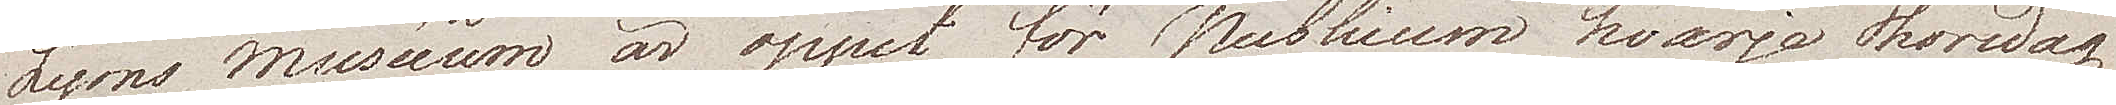Lyons muséeum är öppet för Publicum hvarje thorsdag
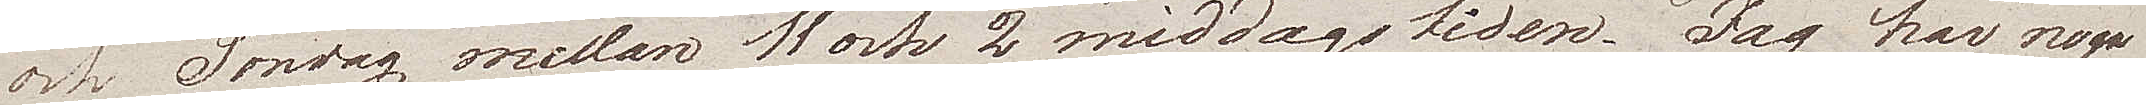och Söndag emellan 11 och 2 middagstiden. Jag har noga
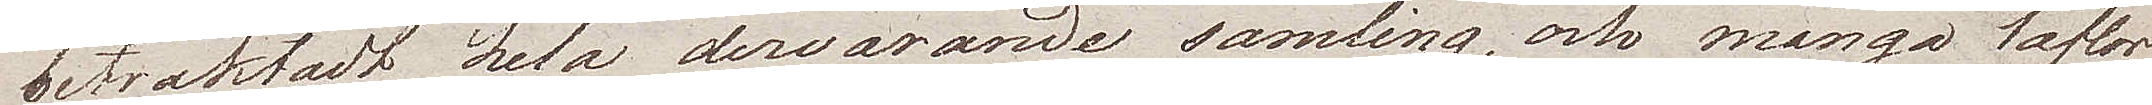betraktadt hela dervarande samling och många taflor
